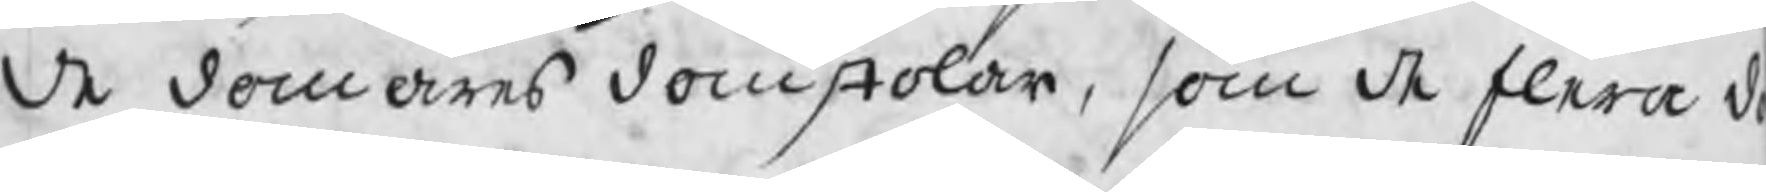de domares domstolar, som de flera d
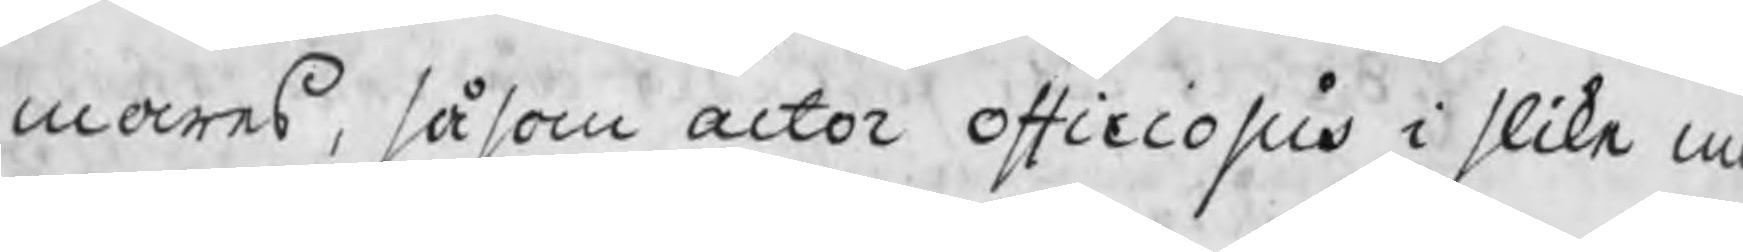mares, såsom actor officiosus i slika m
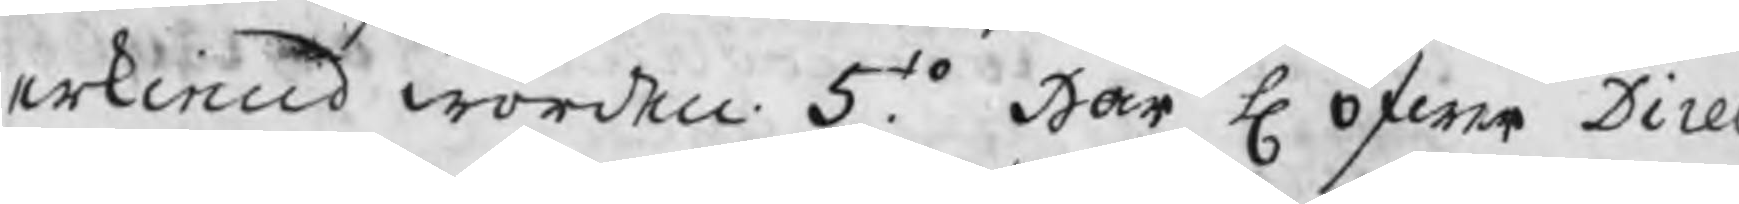erkiend worden. 5to. Har H öfwer Direc
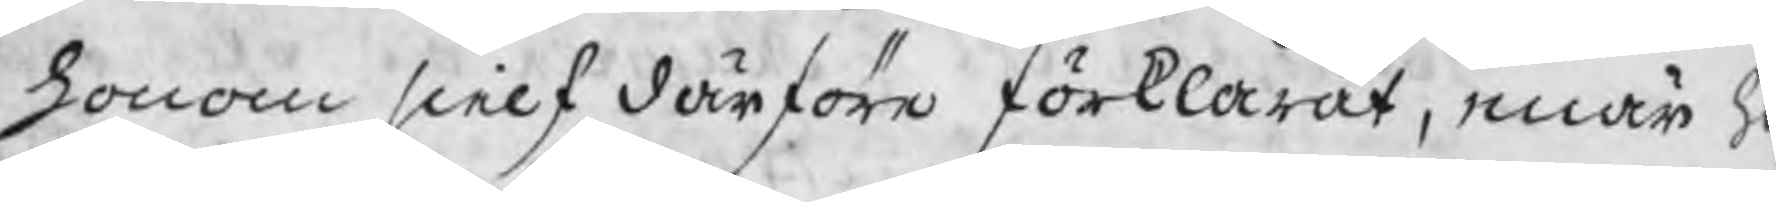honom sielf därföre förklarat, enär h
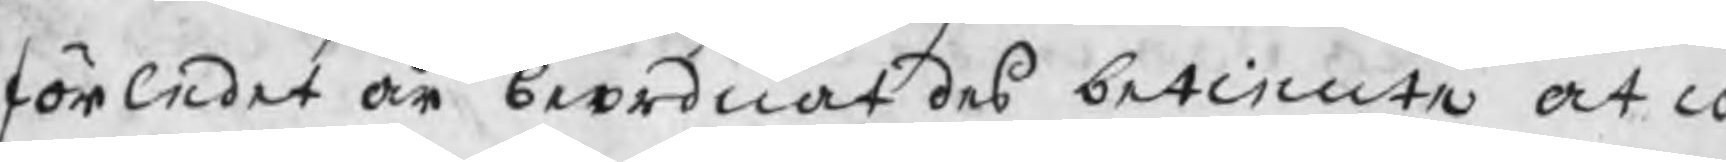förledet år beordnat des betiente at co
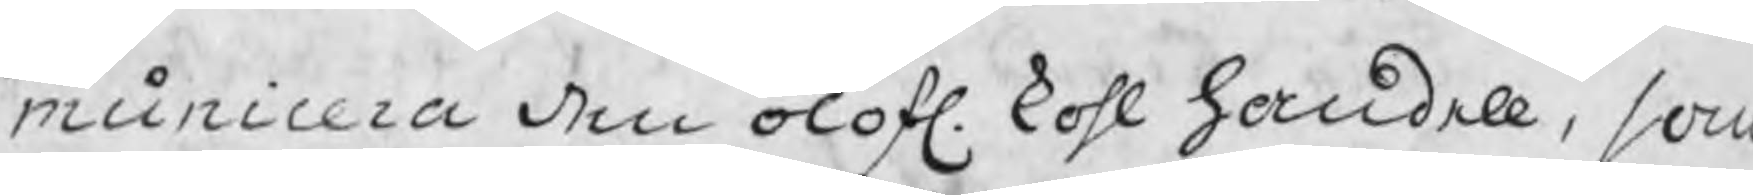municera den olofl. kohl handell, som
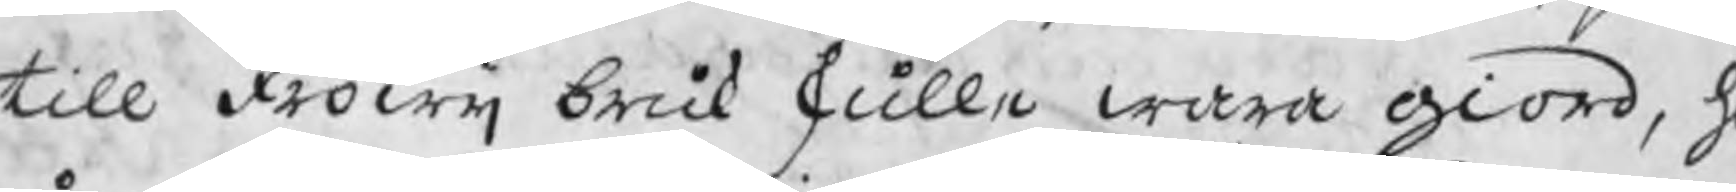till Fröwij bruk skulle wara giord, h
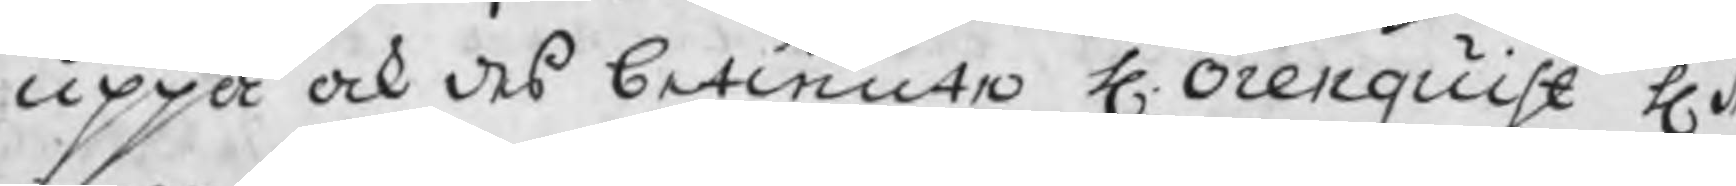uppå ock des betiente H. Örenquist H M
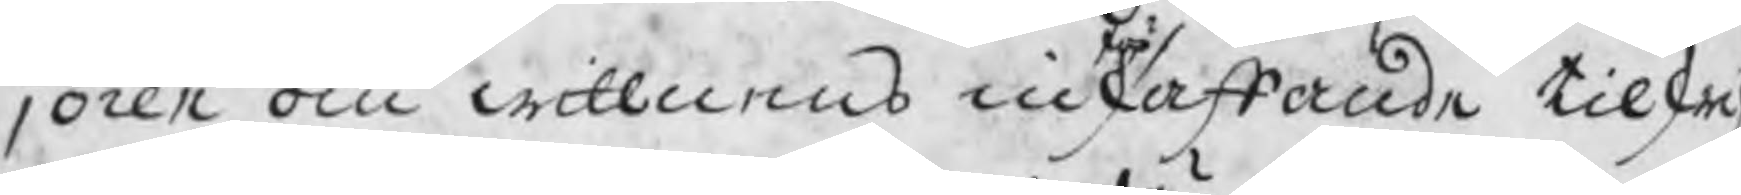joren om wittnens införskaffande tilskr
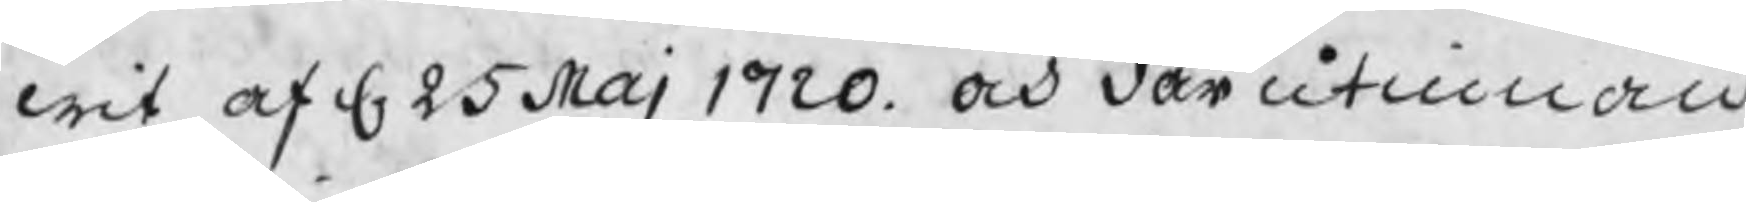wit af d. 25 Maj 1720. och där utinnan
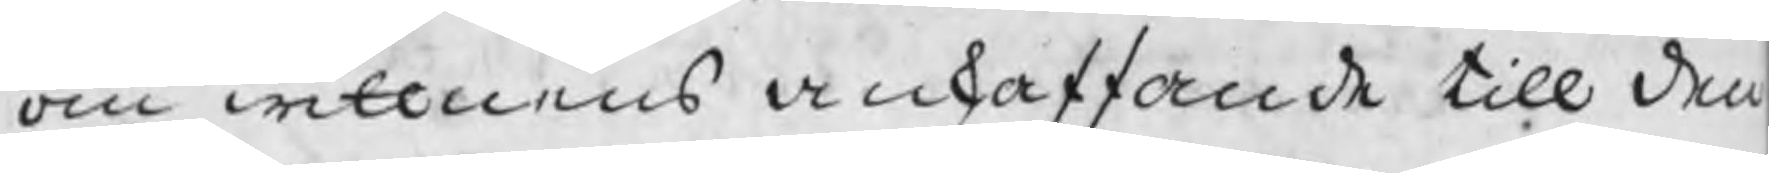om wittnens anskaffande till den
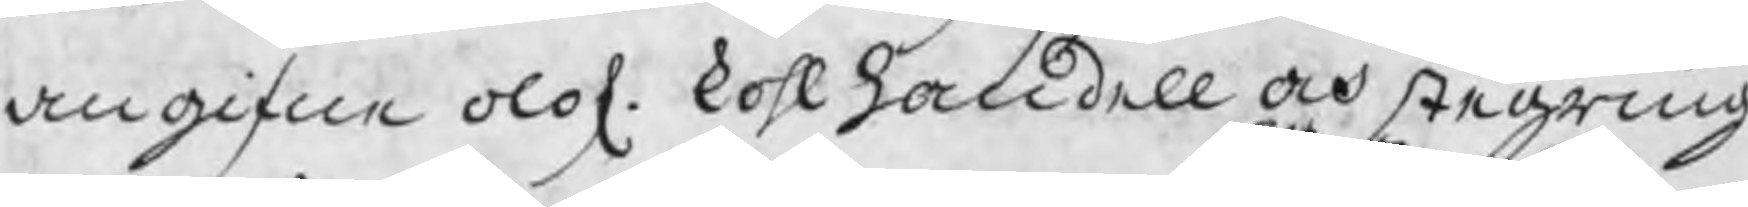angifne olof. kohlhandell och stegring
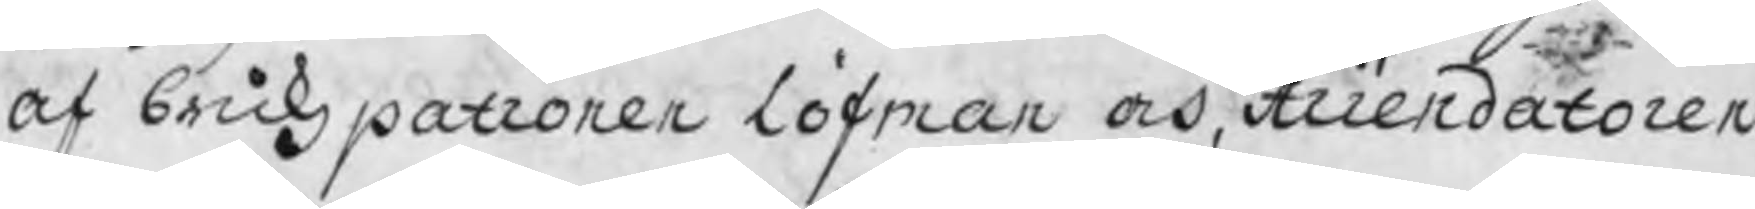af brukzpatronen Löfman och Arrendatoren
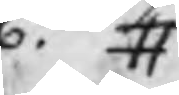6to. #
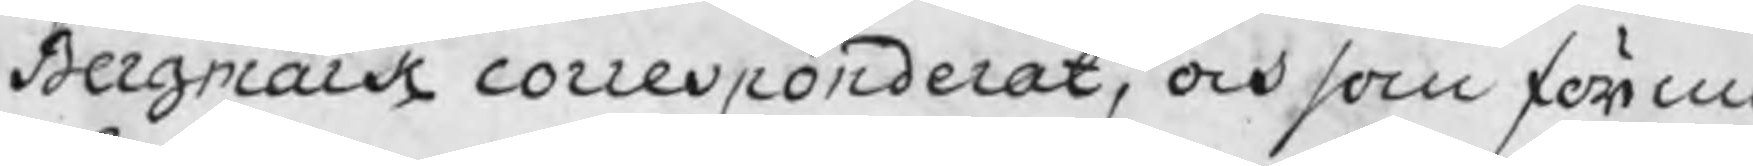Bargmark corrensponderat, och som förmo
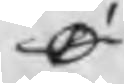O
